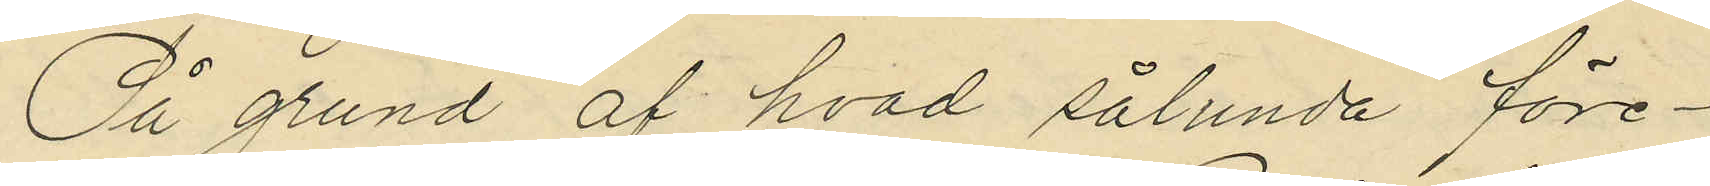På grund af hvad sålunda före¬
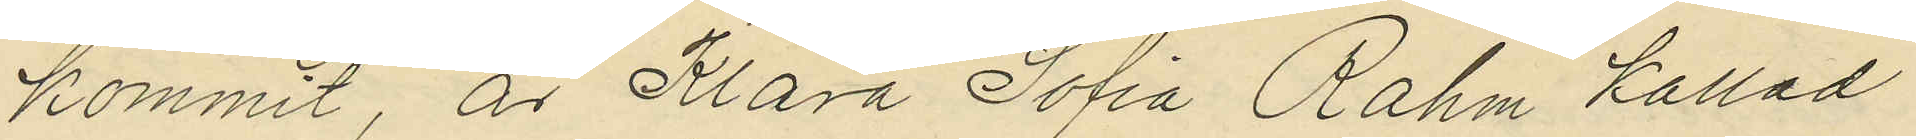kommit, är Klara Sofia Rahm kallad
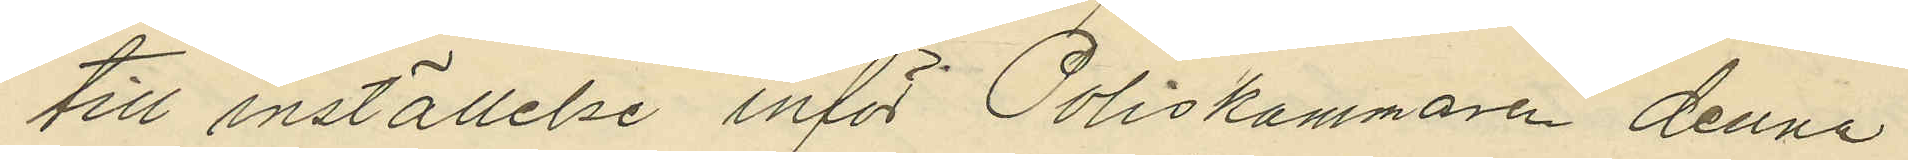till inställelse inför Poliskammaren denna
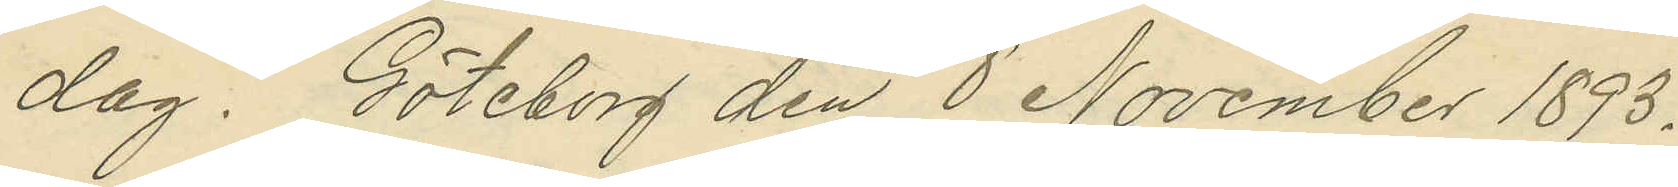dag.  Göteborg den 8 November 1893.
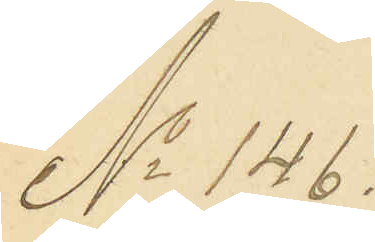No 146.
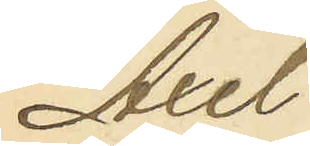Axel
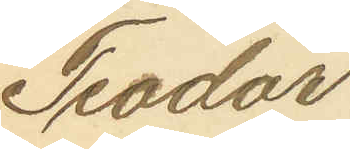Teodor
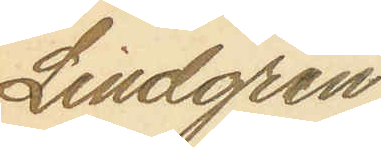Lindgren
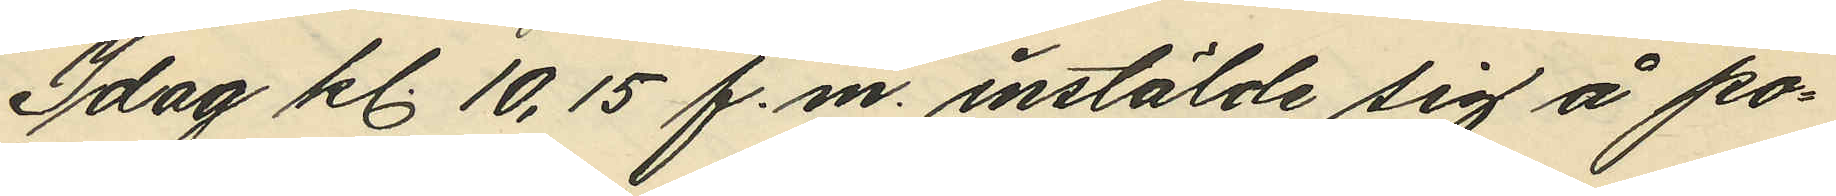Idag kl. 10,15 f.m. instälde sig å po¬
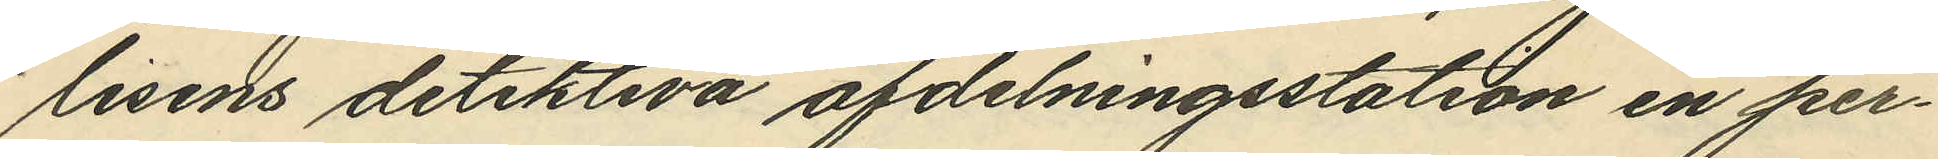lisens detektiva afdelningsstation en per¬
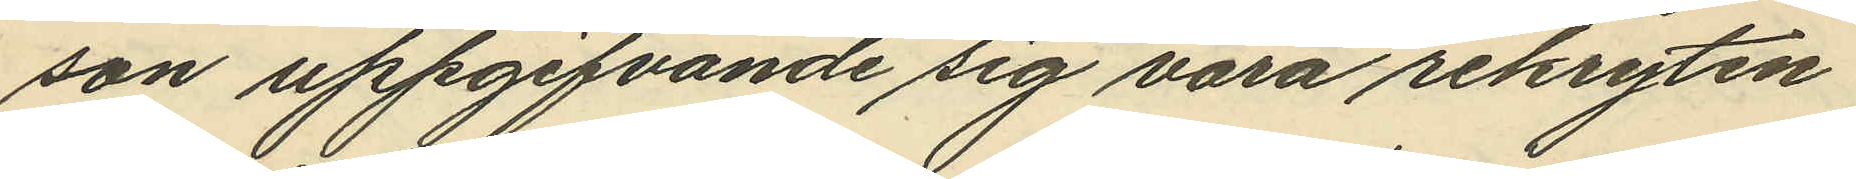son uppgifvande sig vara rekryten
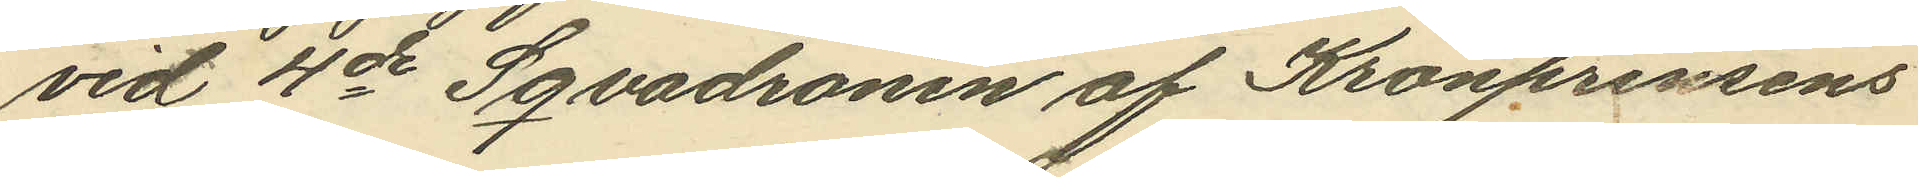vid 4de Sqvadronen af Kronprinsens
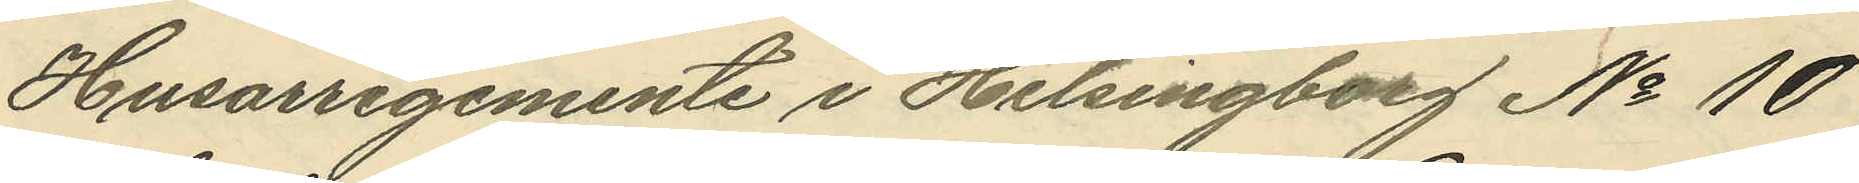Husarregemente i Helsingborg No 10
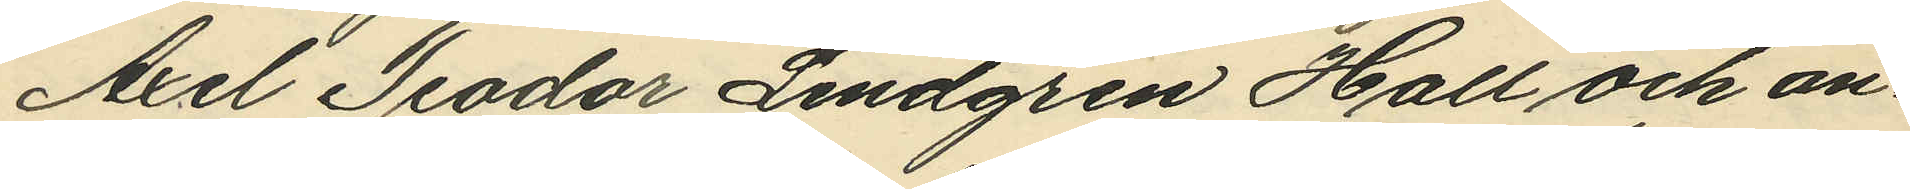Axel Teodor Lindgren Hall och an¬
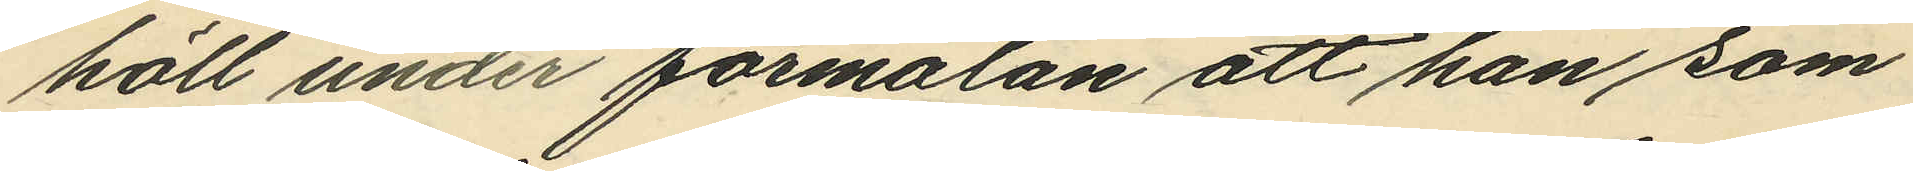höll under förmälan att han som
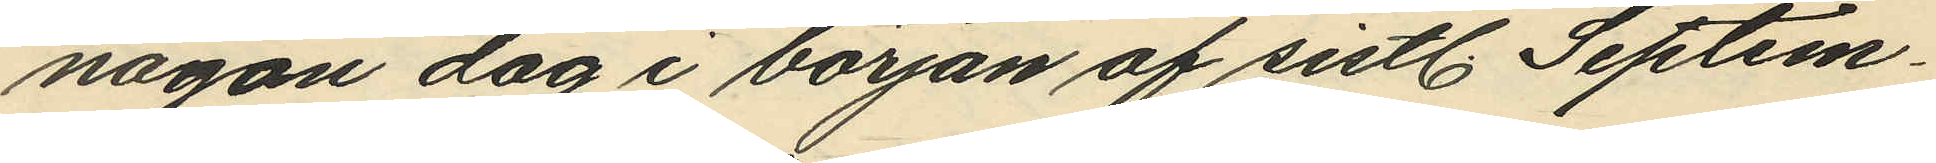någon dag i början af sistl. Septem¬
